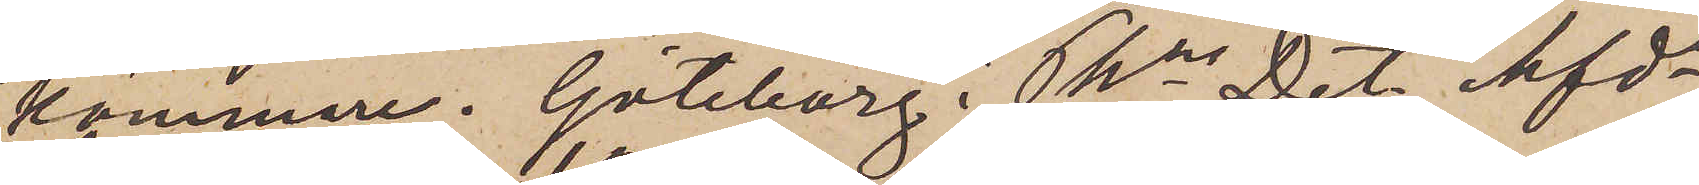kammare. Göteborg Pkns Det. Afd¬
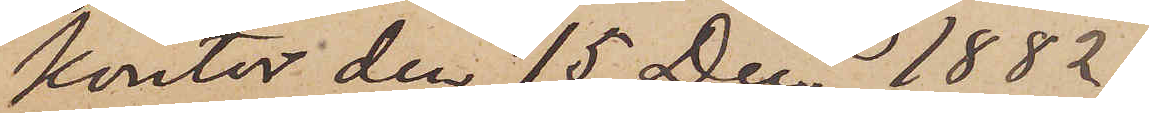kontor den 15 Dec 1882.
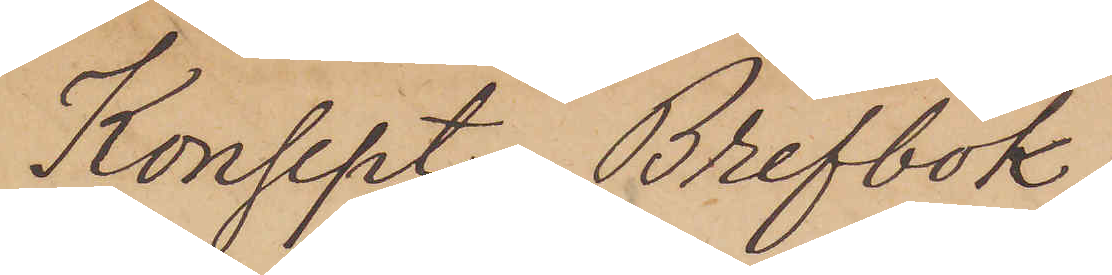Konsept. Brefbok.
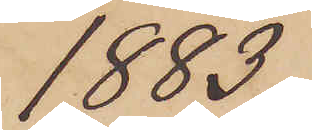1883.
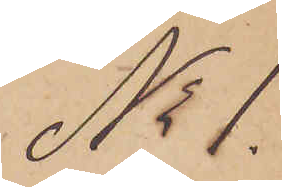No 1.
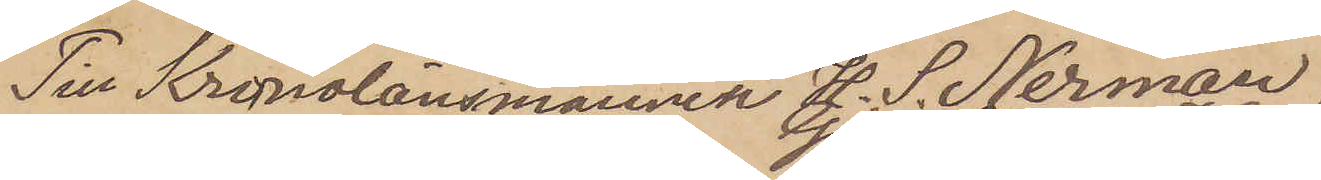Till Kronolänsmannen H. S. Nerman
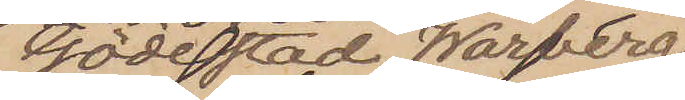Gödestad, Warberg
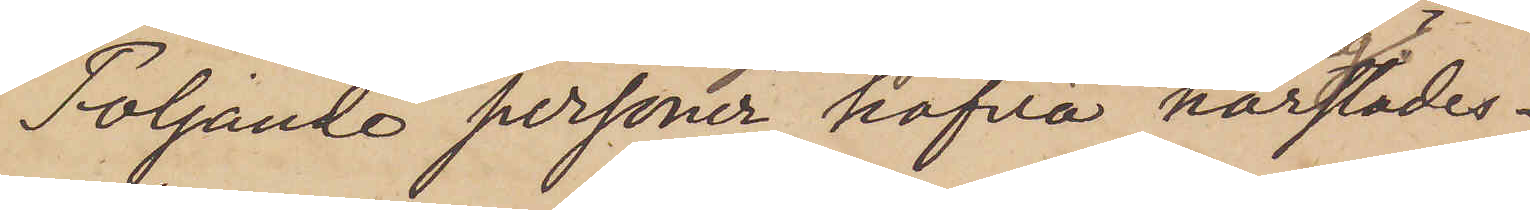Följande personer hafva härstädes
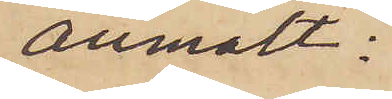anmält:
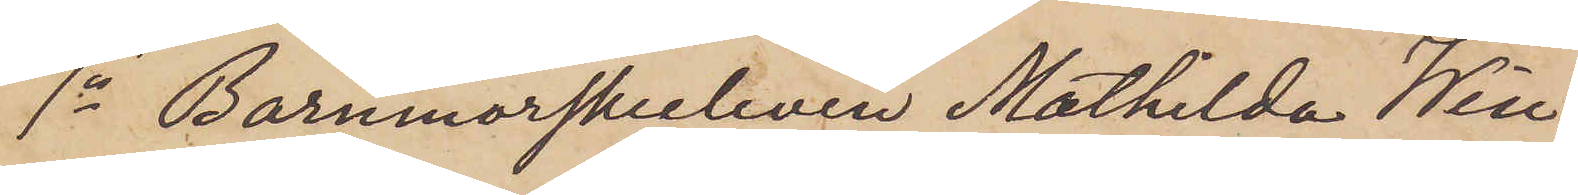1o Barnmorskeeleven Mathilda Win¬
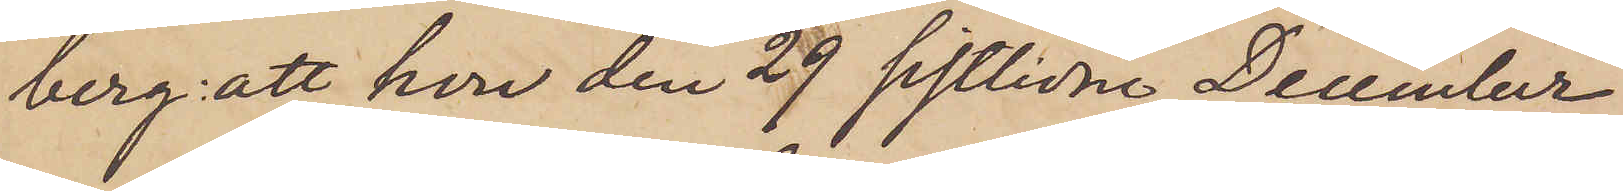berg: att hon den 29 sistlidne December
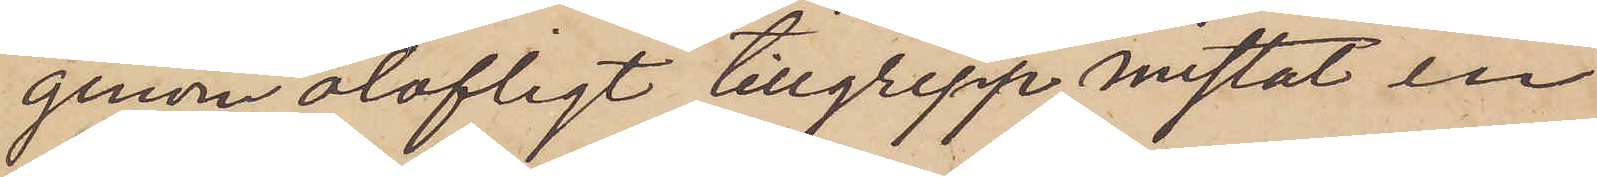genom olofligt tillgrepp mistat en
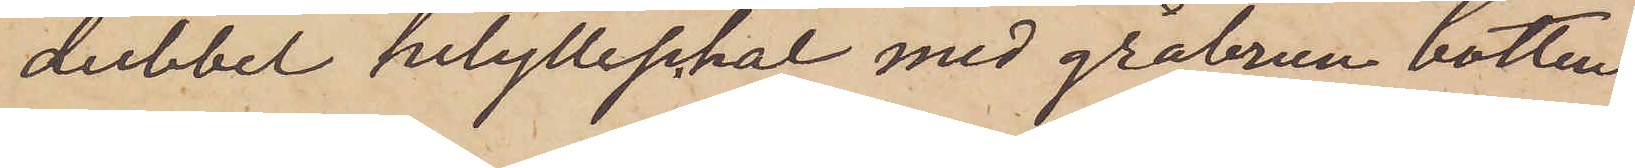dubbel helylleschal med gråbrun botten
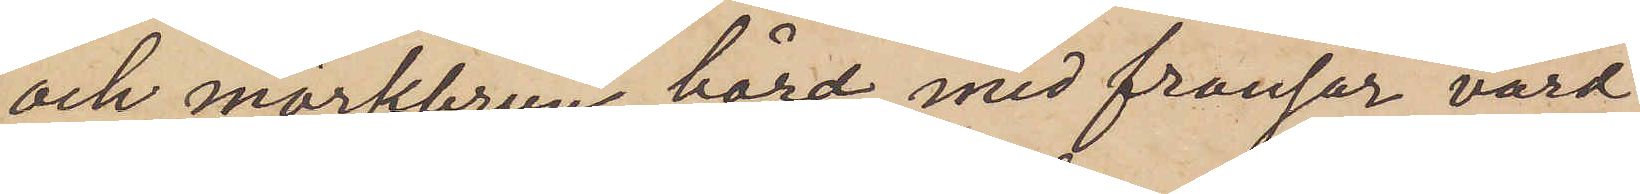och mörkbrun bård med fransar, värd
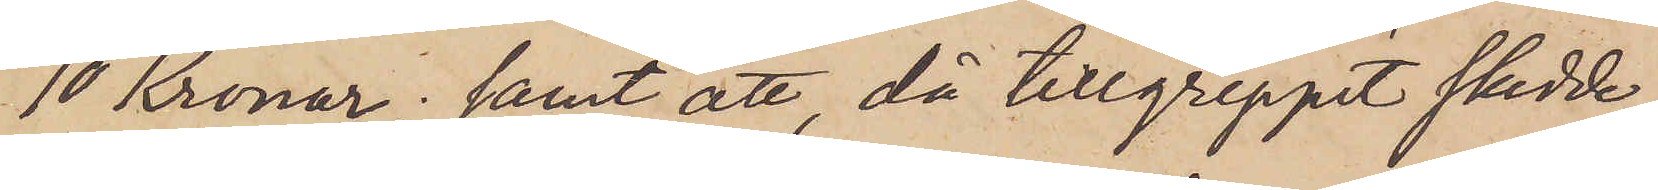10 Kronor; samt att, då tillgreppet skedde
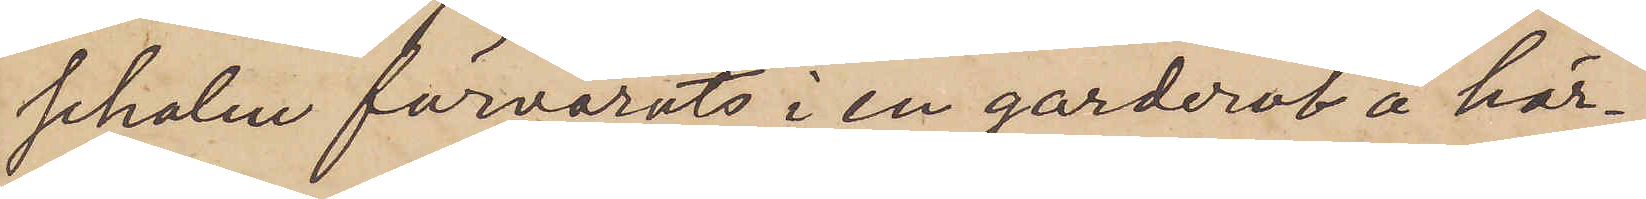schalen förvarats i en garderob å här¬
